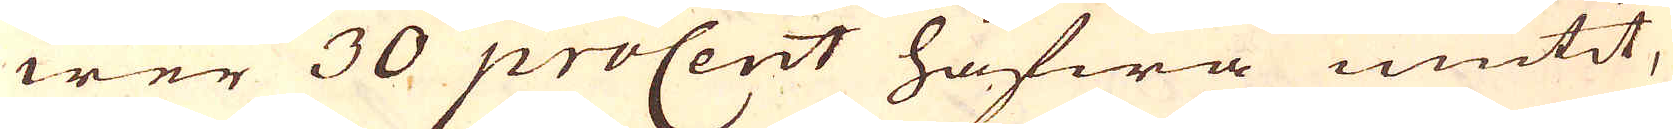wer 30 proCent hafwa niutit,
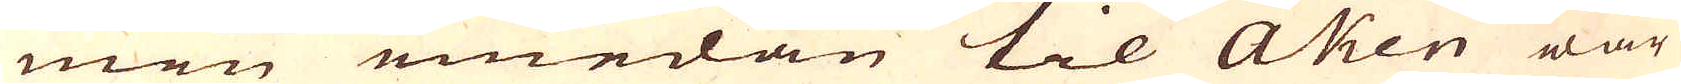men emedan til Aken war
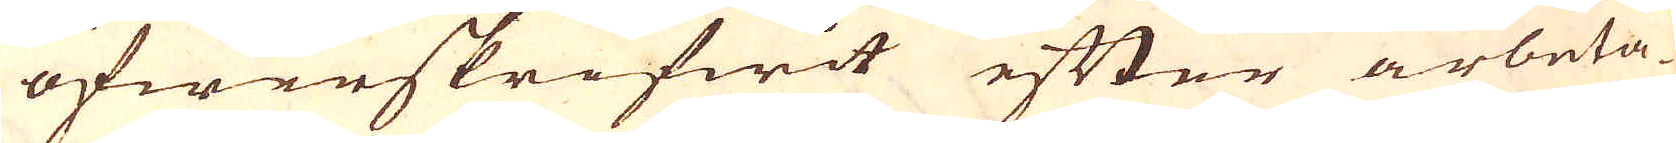öfwerskrifwit efter arbeta-
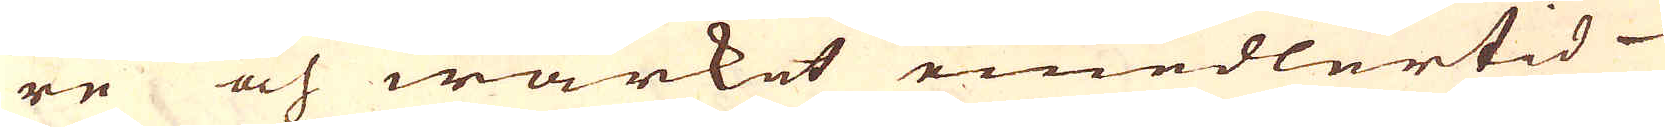re och wärket emedlertid
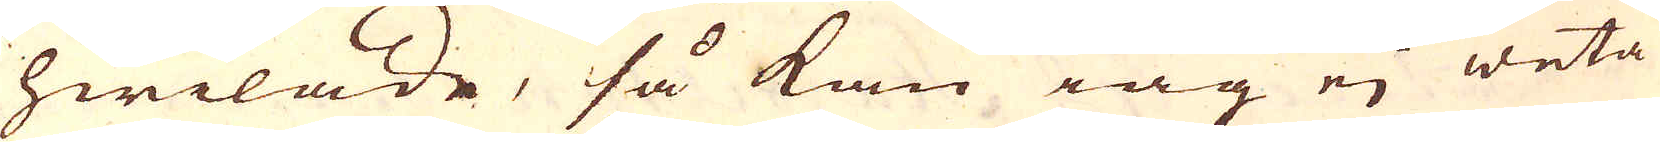hwilade, så kan iag ej weta
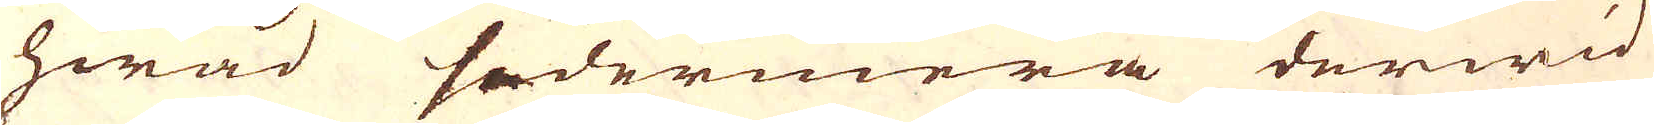hwad sedermera derwid
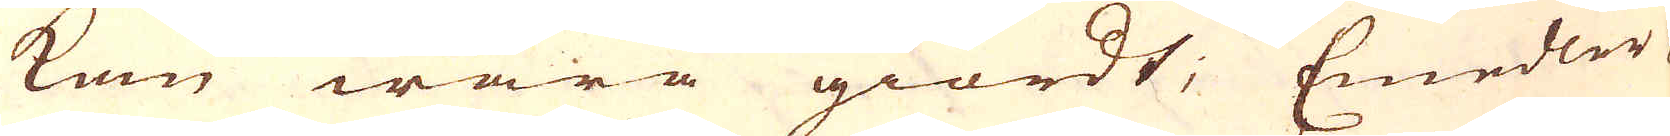kan wara giordt; Emedler-
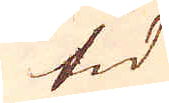tid
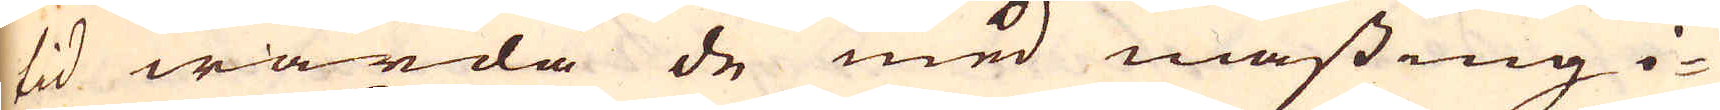tid warda de med mässing i-
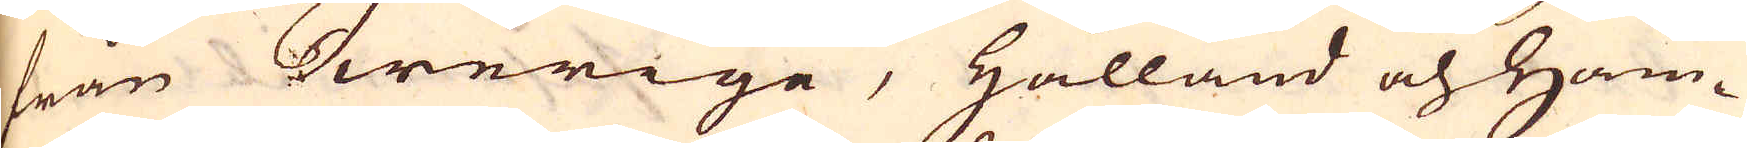från Swerige, Hålland och ham-
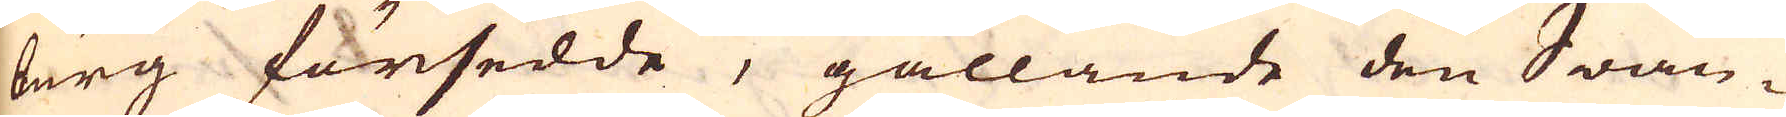burg försedde, gällande den Swän-
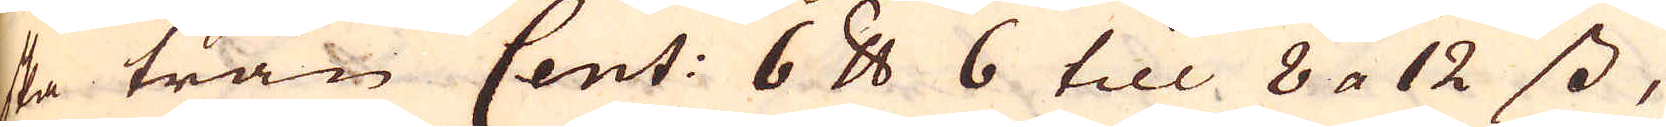ska trån Cent: 6 skålpund 6 till 8 a 12 ss,
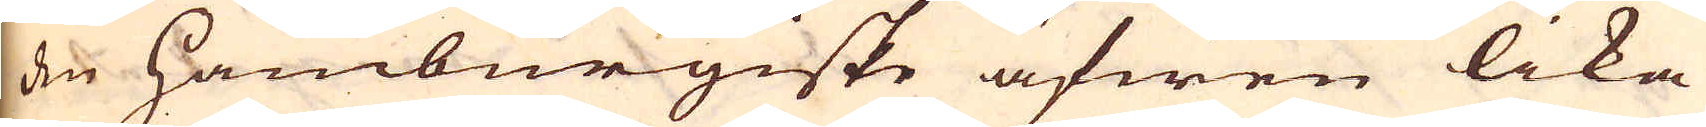den Hamburgiske äfwen lika
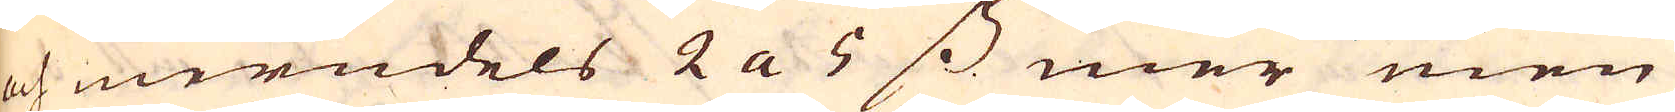och merndels 2 a 5 ss mer men
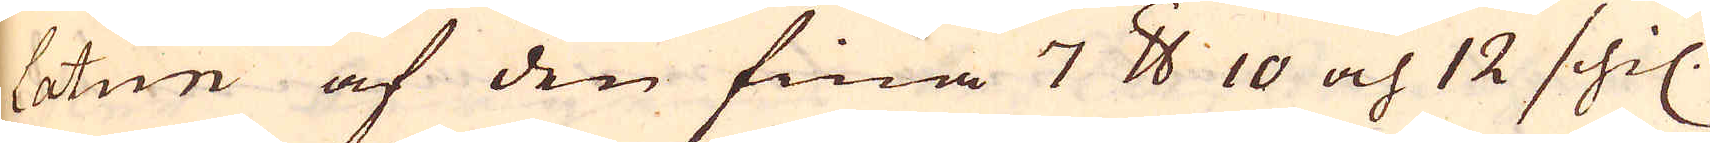latun af den fina 7 skålpund 10 och 12 schil.
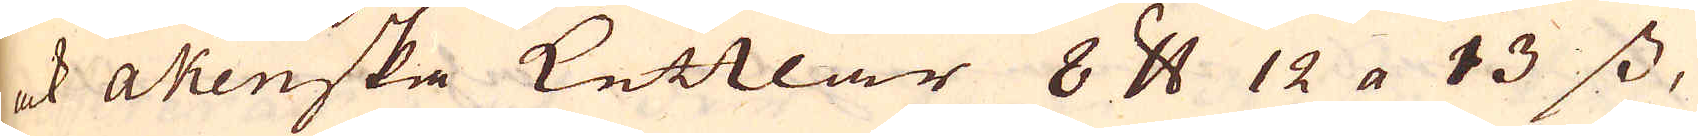ock akenska kettlar 8 skålpund 12 a 13 ss,
